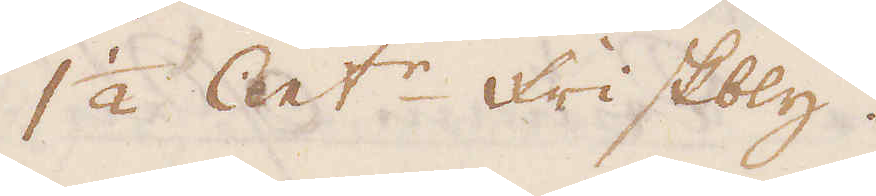1 1/2 Cent:r Friskbly.
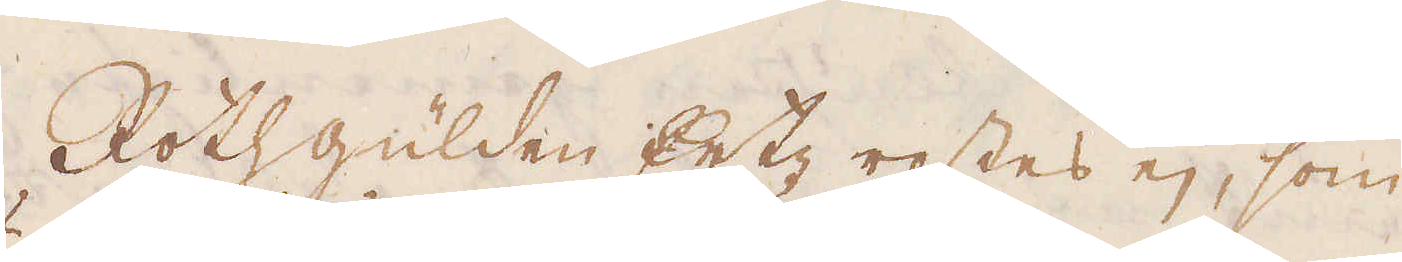Rothgulden Ertz rostes ej, som
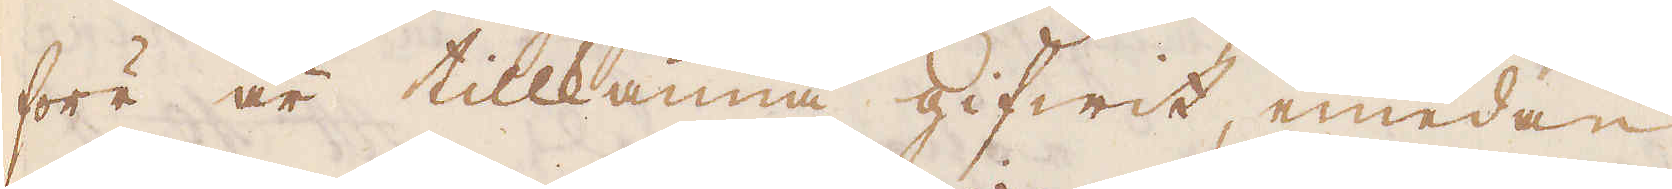förr är tillkänna gifwit, emedan
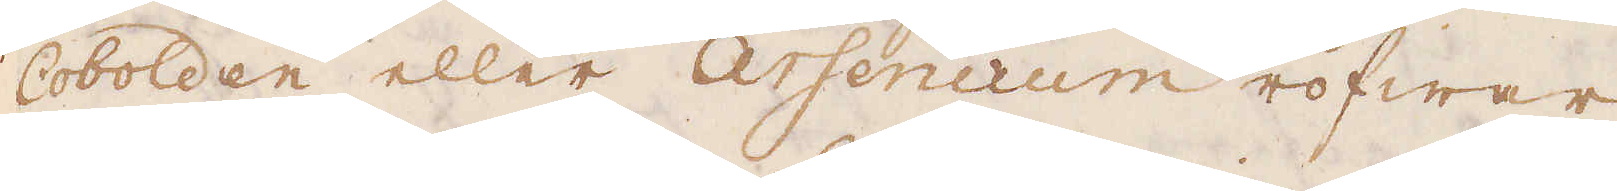Cobolden eller Arsenicum röfwar
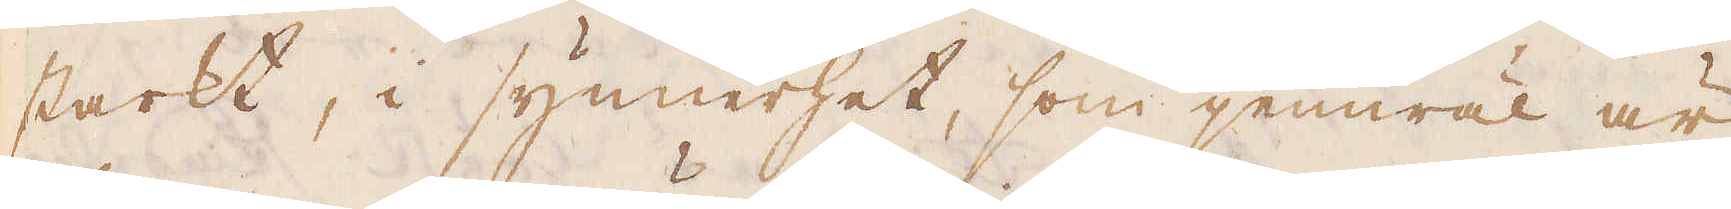starkt, i synnerhet, som jemwäl är
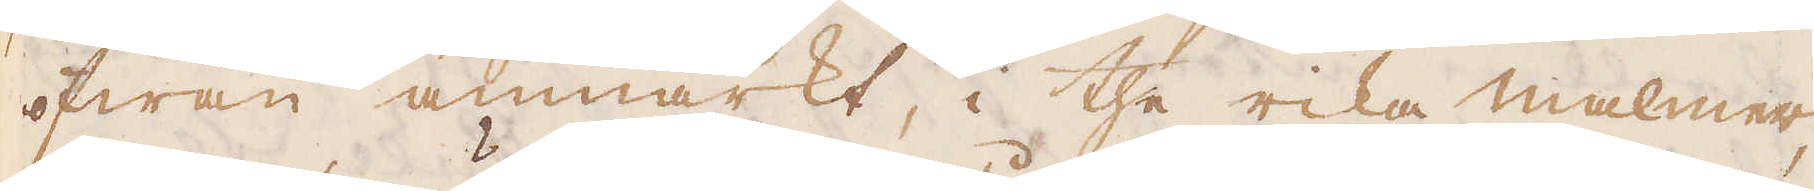ofwan anmärkt, i the rika malmer,
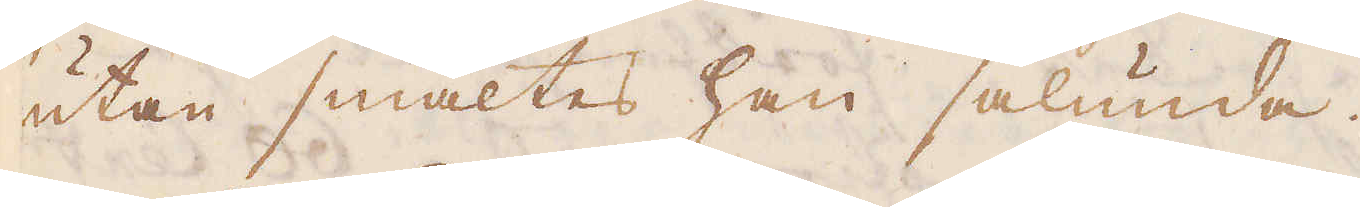utan smältes han sålunda.
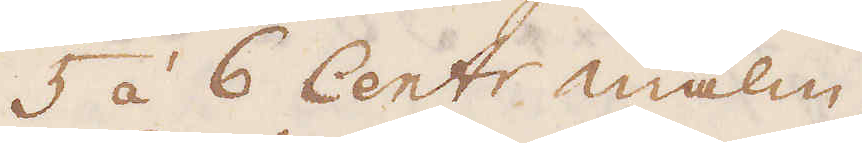5 á 6 Cent:r malm.
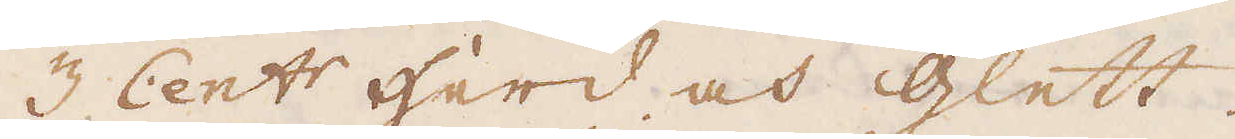3 Cent:r Herd och Glett.
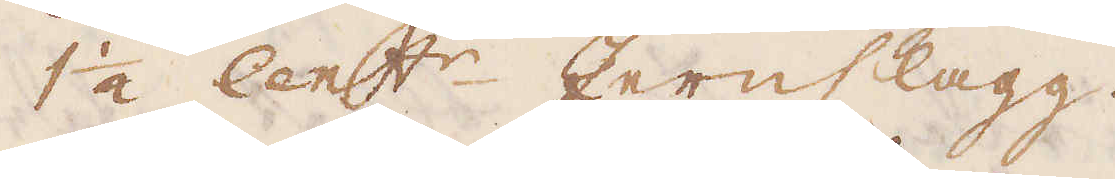1 1/2 Cent:r Jernslagg.
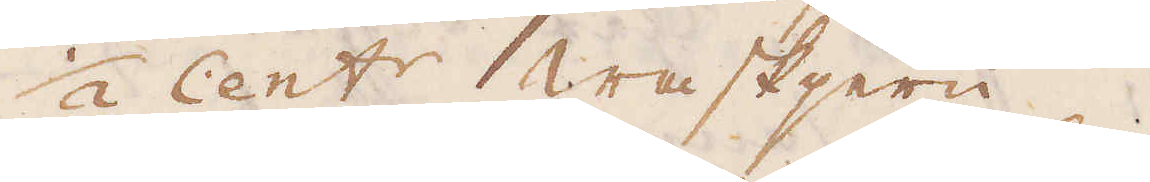1/2 Cent:r waskjern.
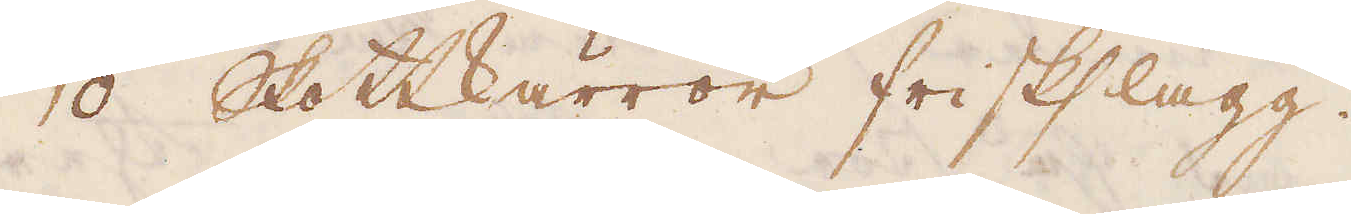10 Skottkärror friskslagg.
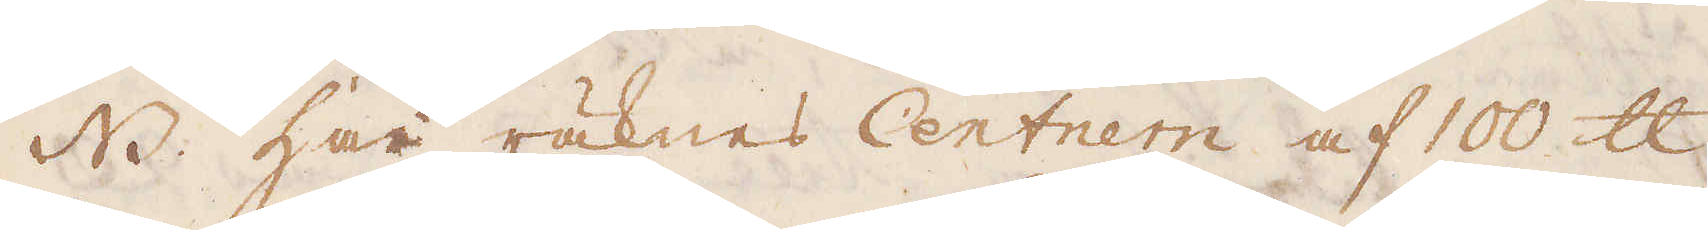NB. Här räknas Centnern af 100 skålpund
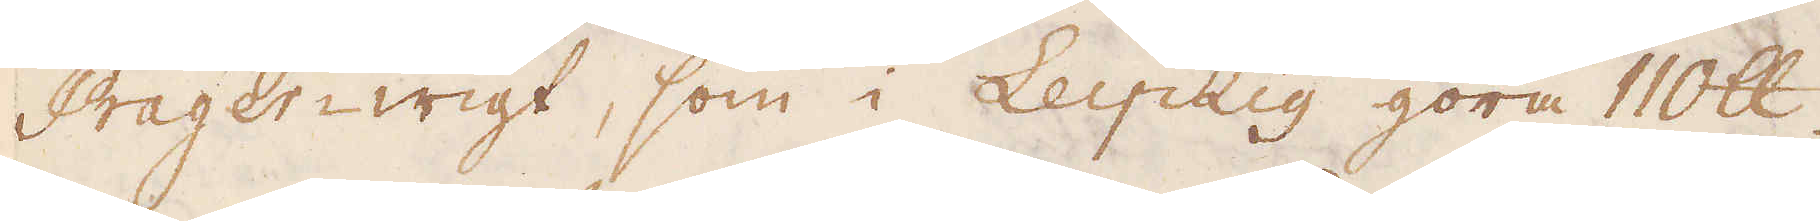Prager-wigt, som i Leipzig göra 110 skålpund.
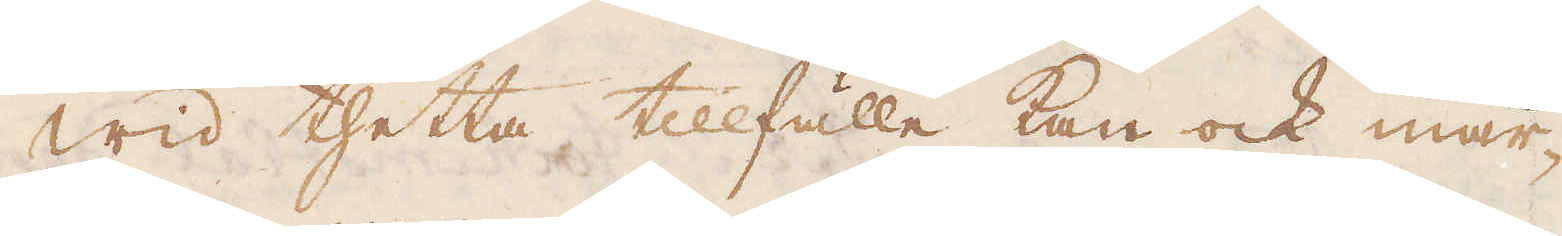Wid thetta tillfälle kan ock mär-
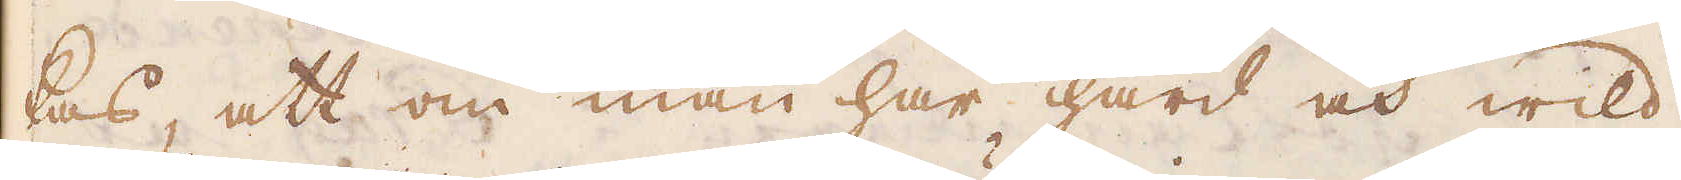kas, att om man har hård och wild
